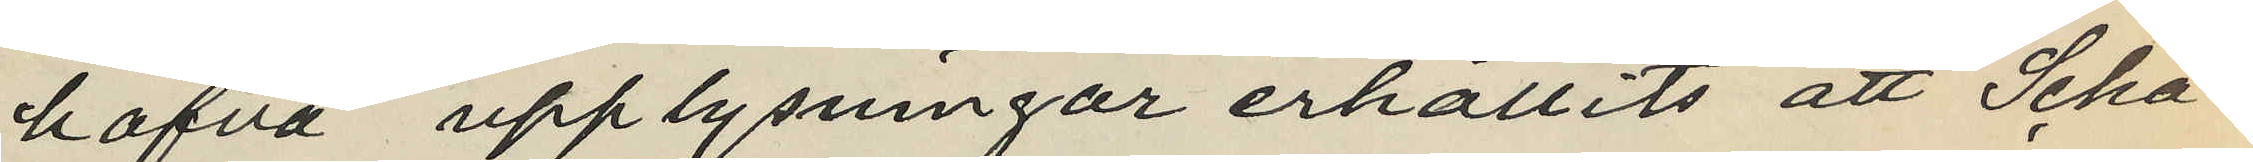hafva upplysningar erhållits att Scha¬
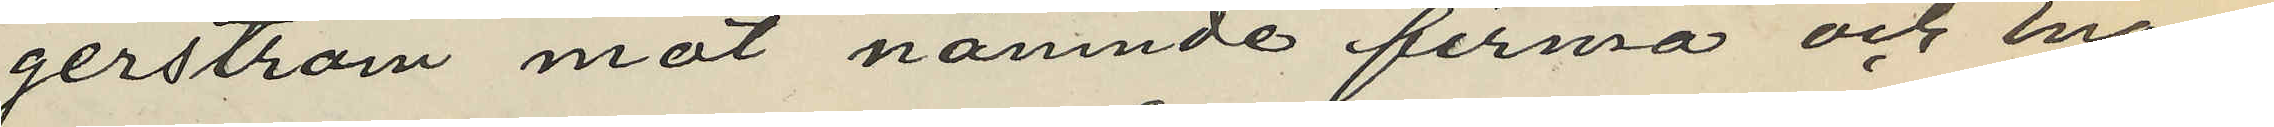gerström mot nämnde firma och Enan¬
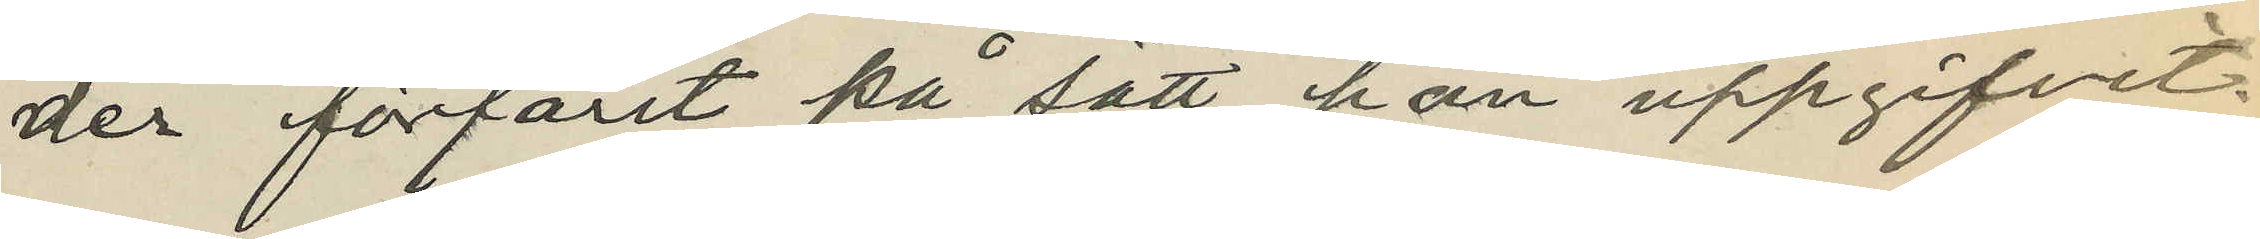der förfarit på sätt han uppgifvit.
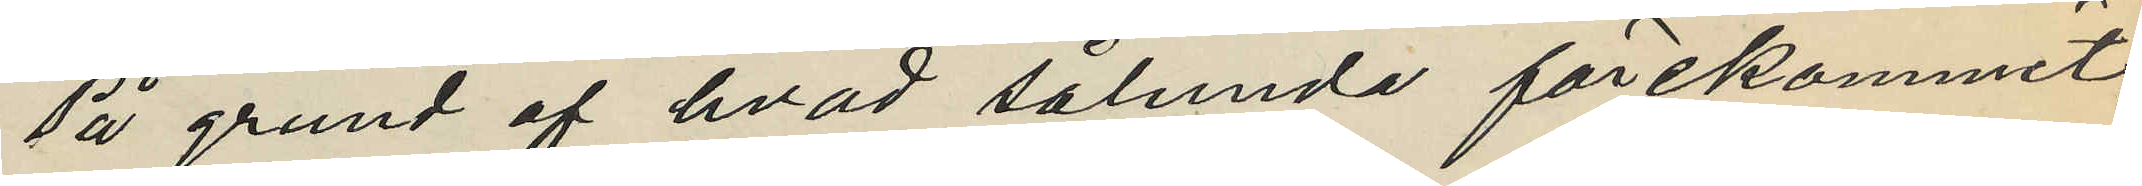På grund af hvad sålunda förekommit,
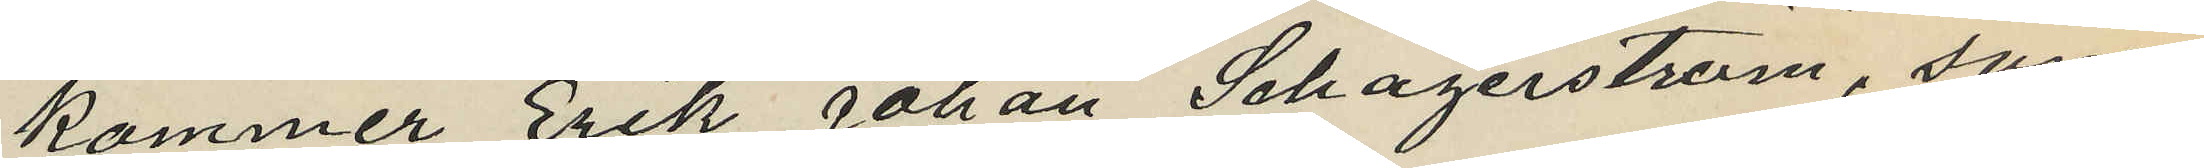kommer Erik Johan Schagerström, som
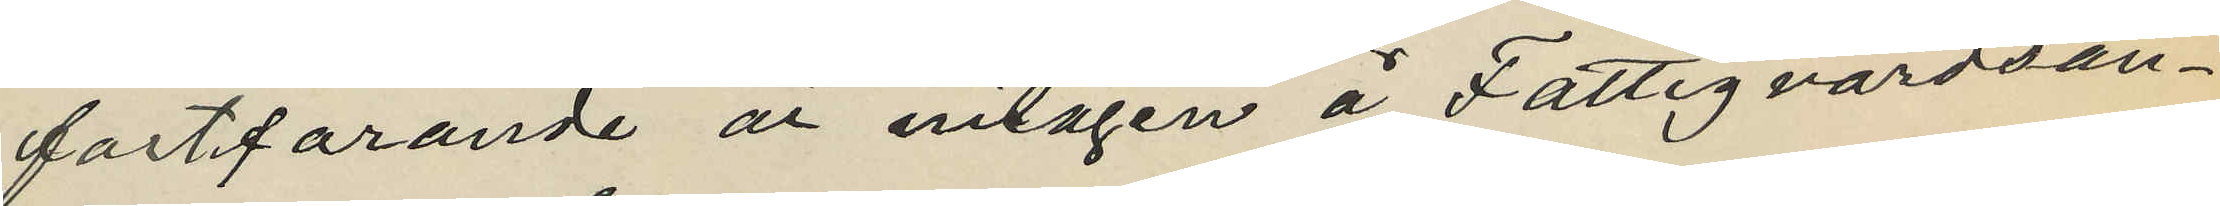fortfarande är intagen å Fattigvårdsan¬
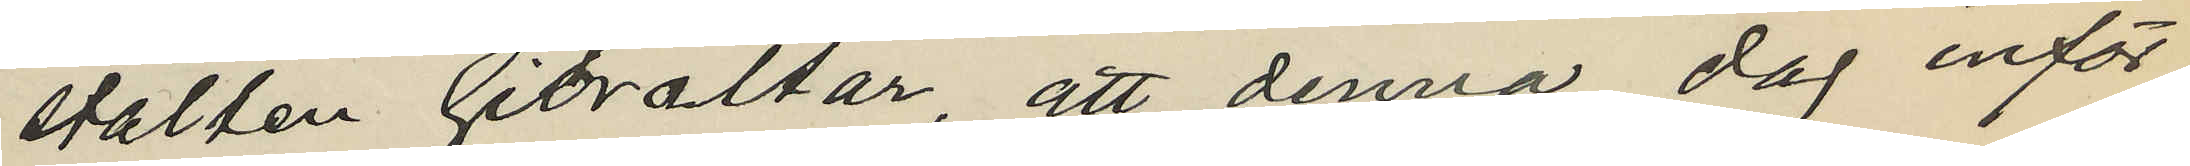stallen Gibraltar, att denna dag inför
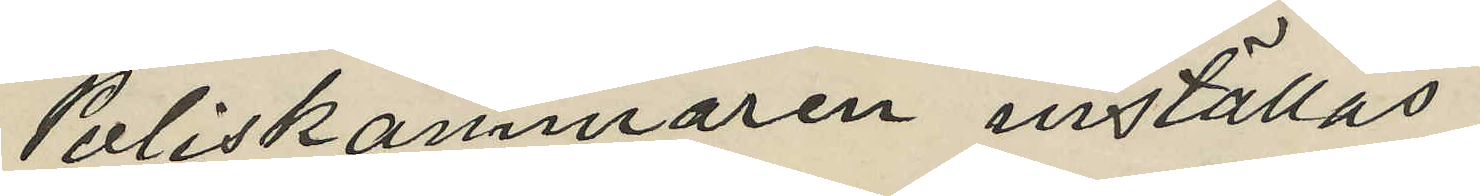Poliskammaren inställas
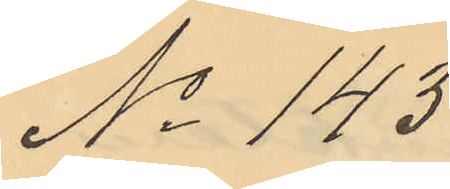No 143
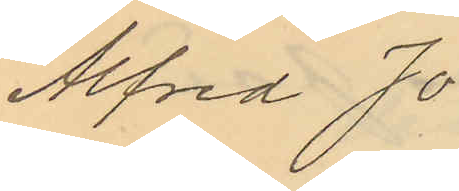Alfred Jo¬
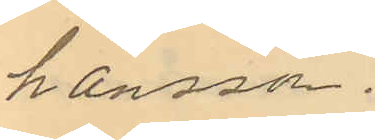hansson.
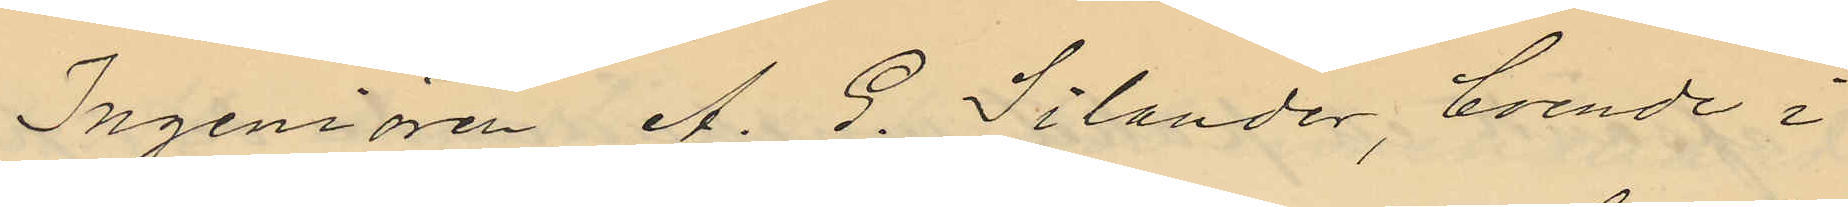Ingeniören A. G. Silander, boende i
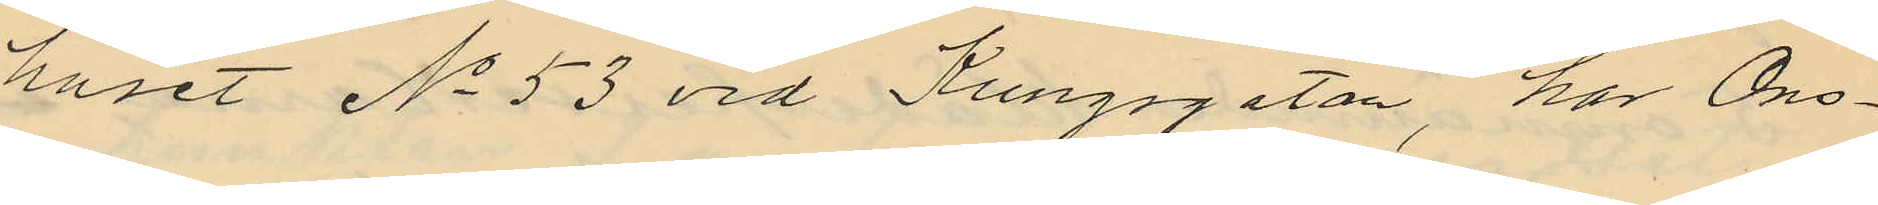huset No 53 vid Kungsgatan, har Ons¬
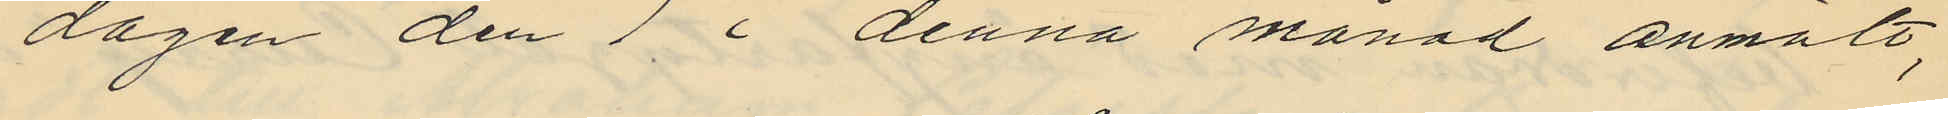dagen den 7 i denna månad anmält,
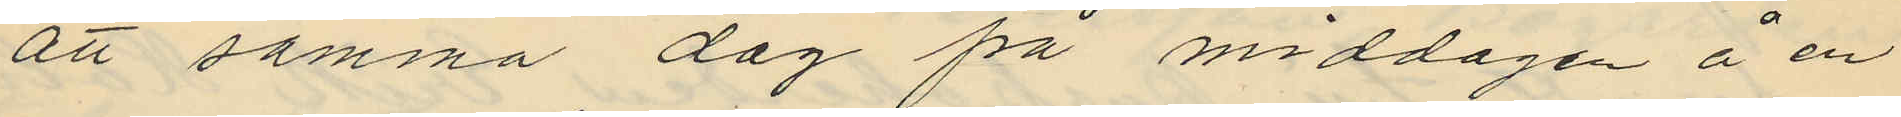att samma dag på middagen å en
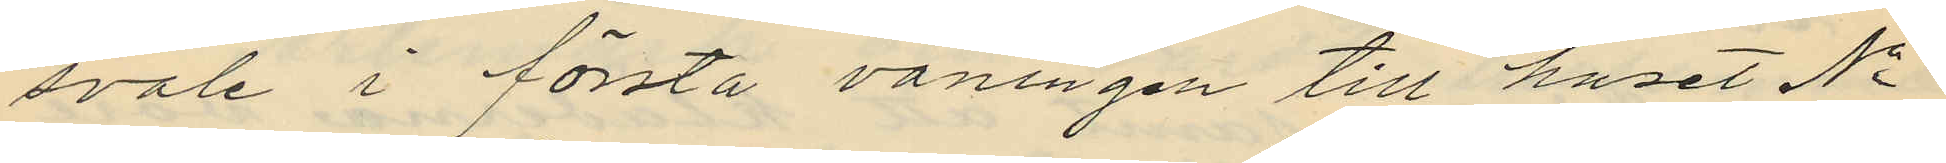svale i första våningen till huset No
